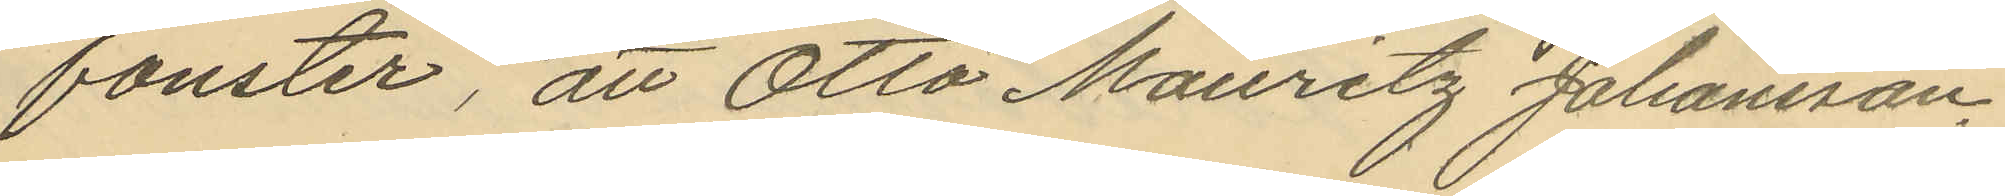fönster, att Otto Mauritz Johansson,
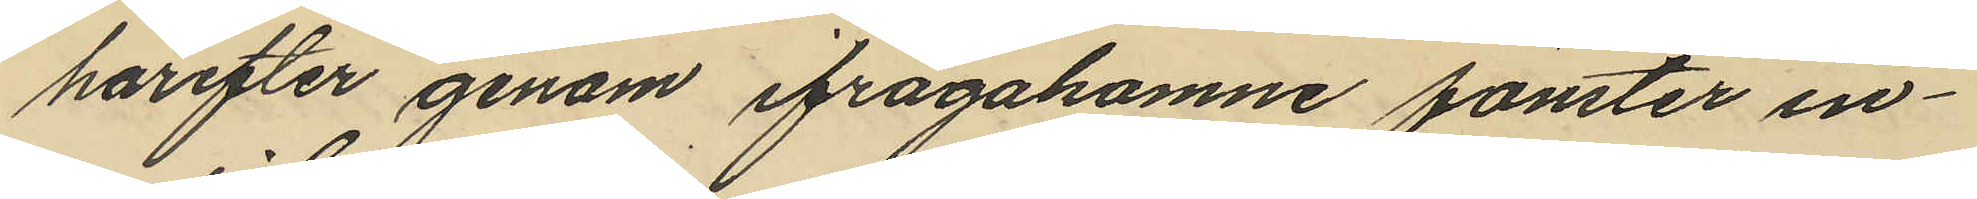härefter genom ifrågakomne fönster in¬
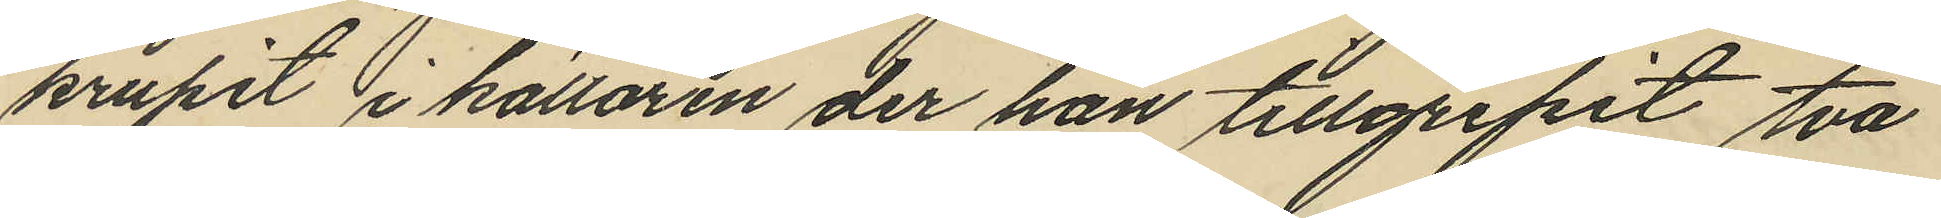krupit i källaren der han tillgripit två
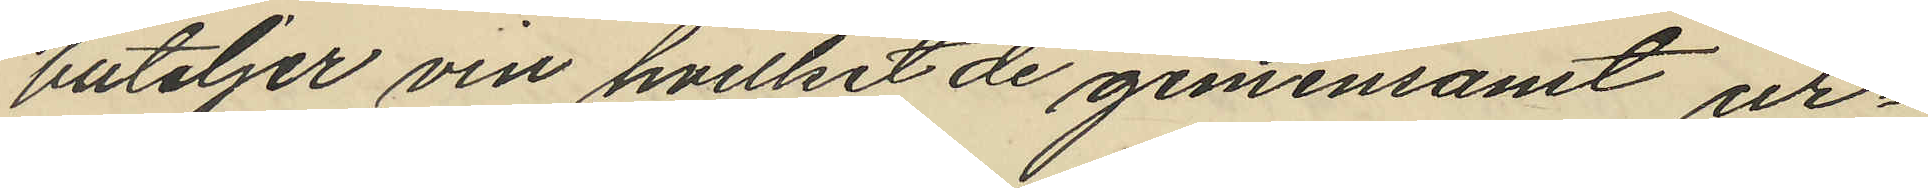buteljer vin hvilket de gemensamt ur¬
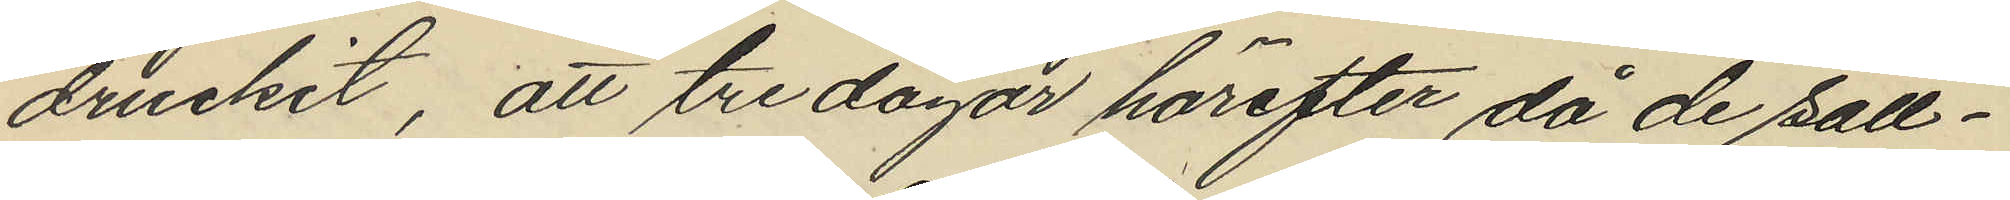druckit, att tre dagar härefter då de säll¬
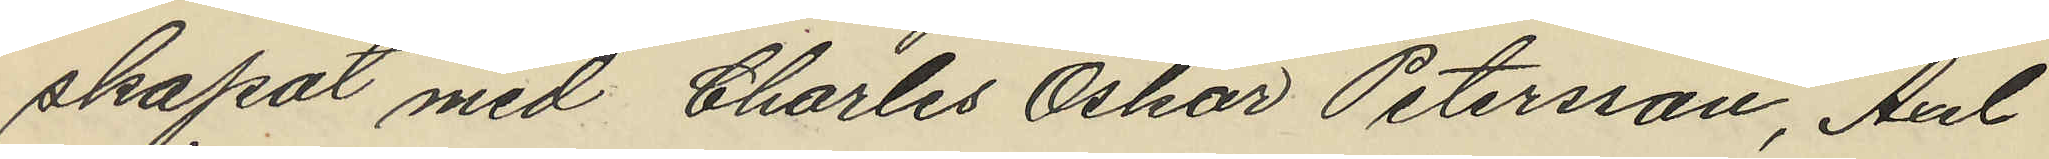skapat med Charles Oskar Petersson, Axel
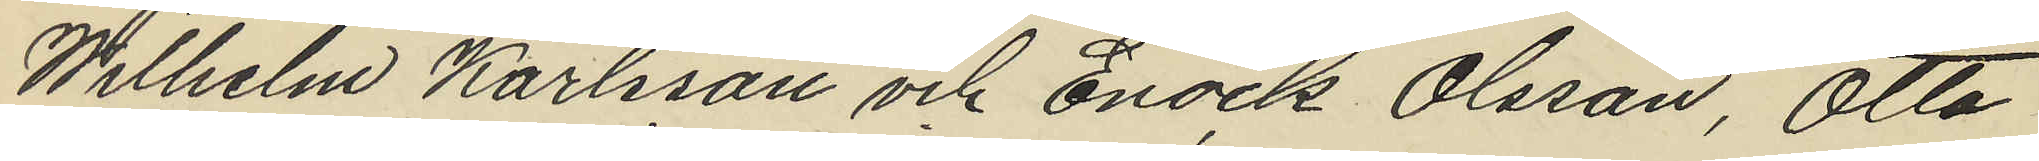Wilhelm Karlsson och Enock Olsson, Otto
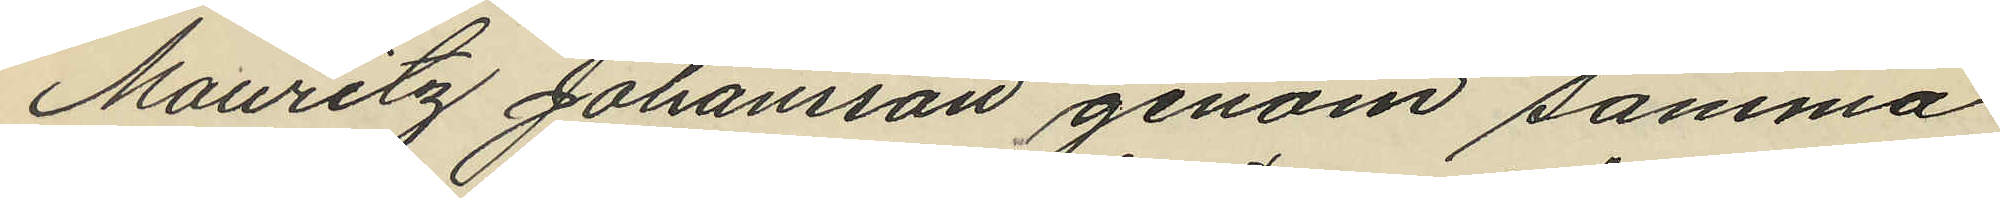Mauritz Johansson genom samma
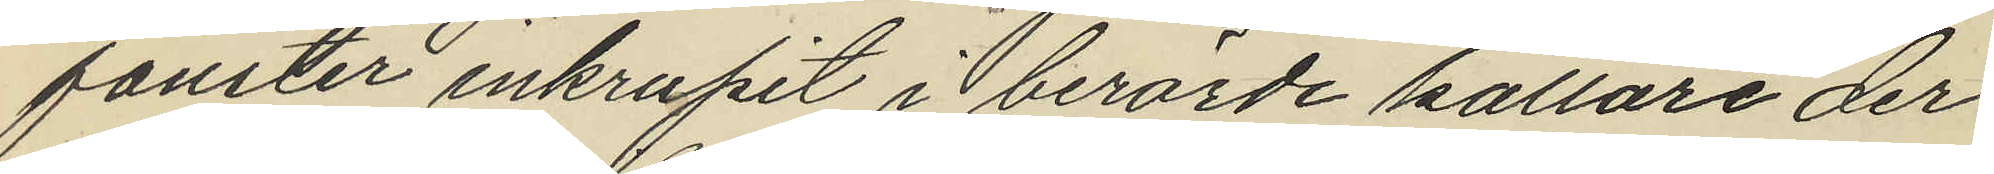fönster inkrupit i berörde källare der
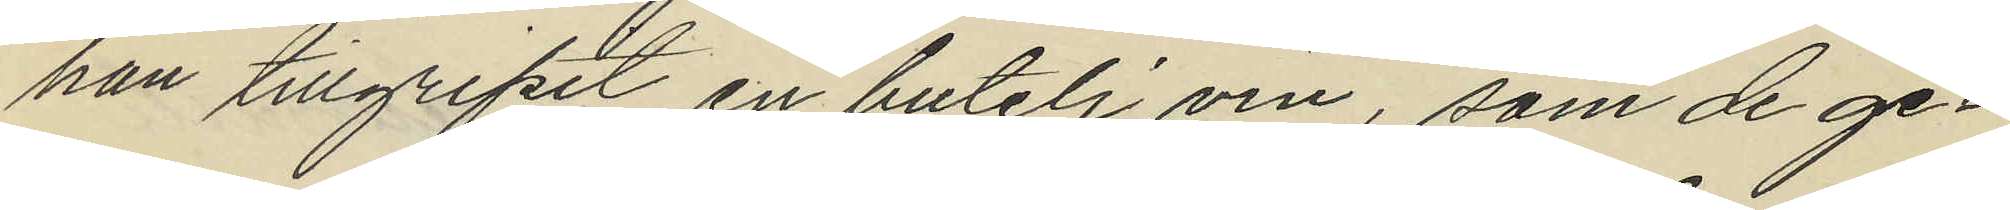han tillgripit en butelj vin, som de ge¬
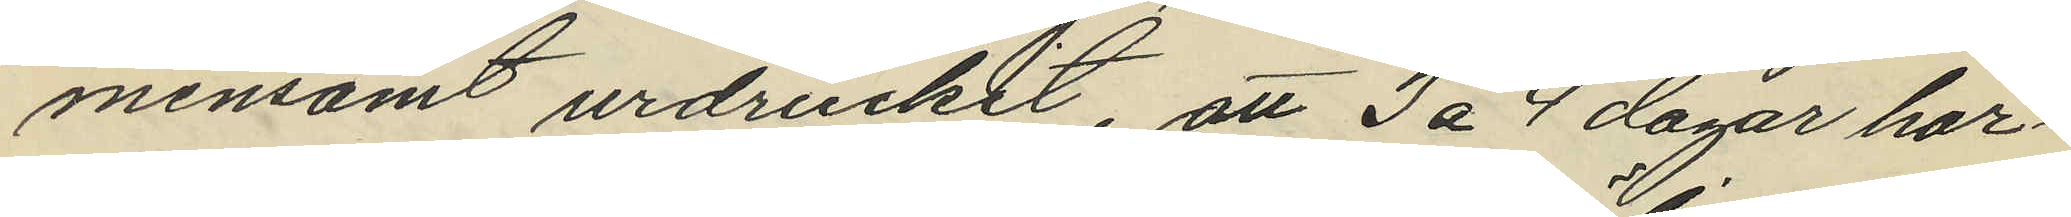mensamt urdruckit, att 3 á 4 dagar här¬
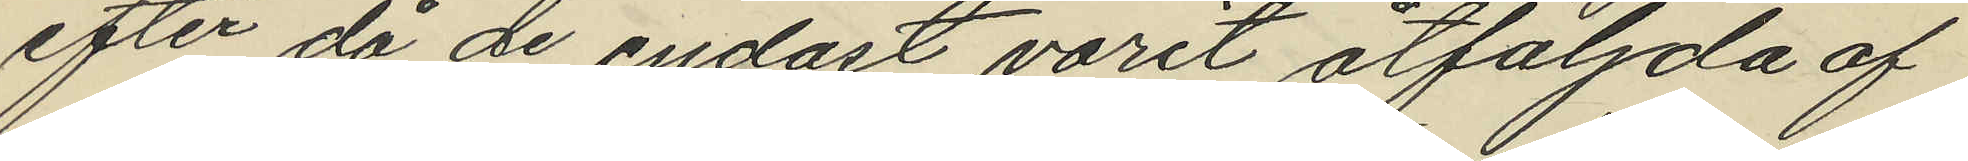efter då de endast varit åtföljda af
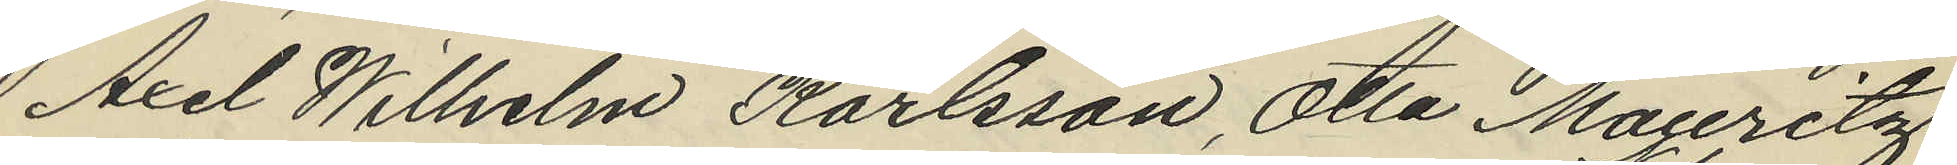Axel Wilhelm Karlsson, Otto Mauritz
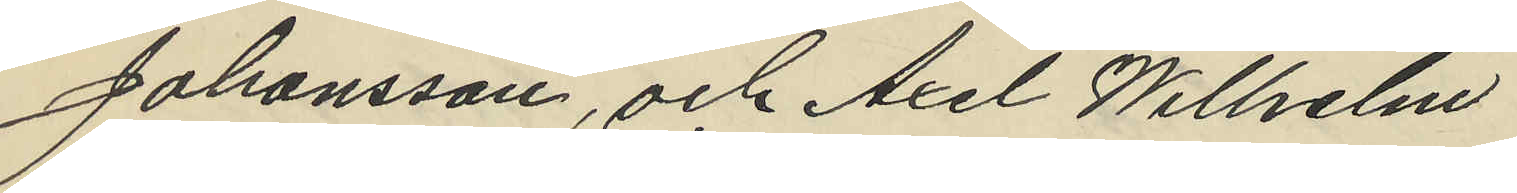Johansson, och Axel Wilhelm
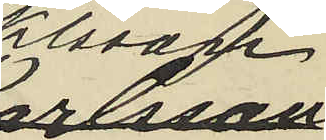Klason
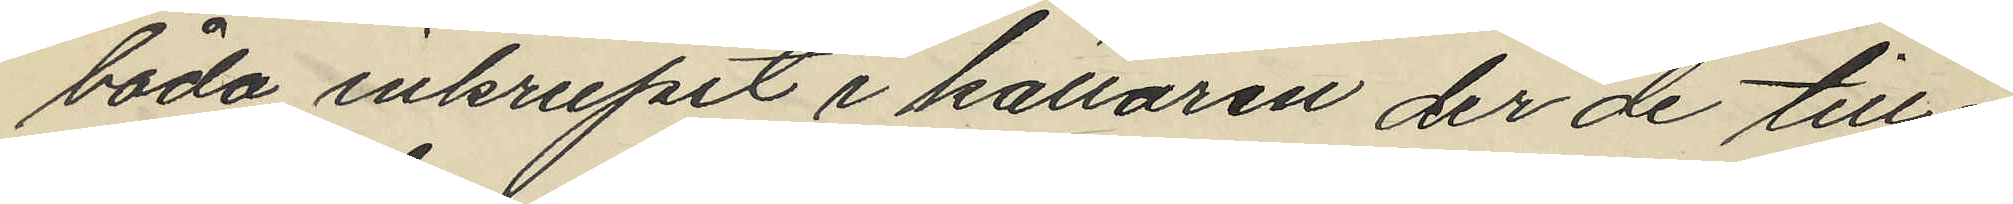båda inkrupit i källaren der de till¬
